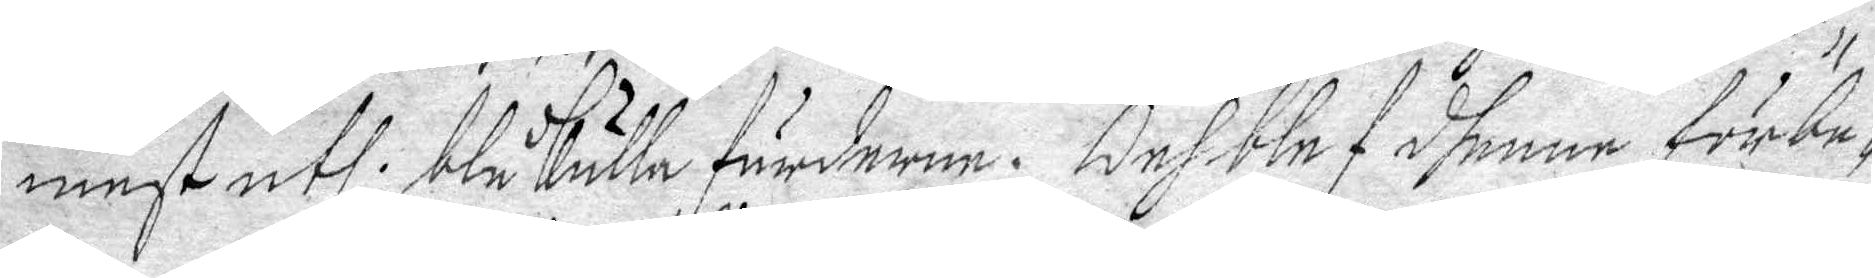mest uthi blåkulla färderne. Och blef dhenne förbe¬
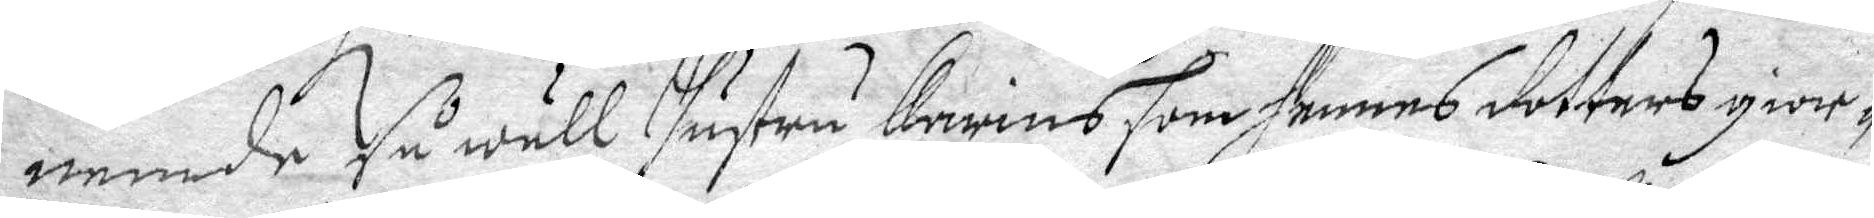nemde så wäll Hustru Karins som hennes dotters gior¬
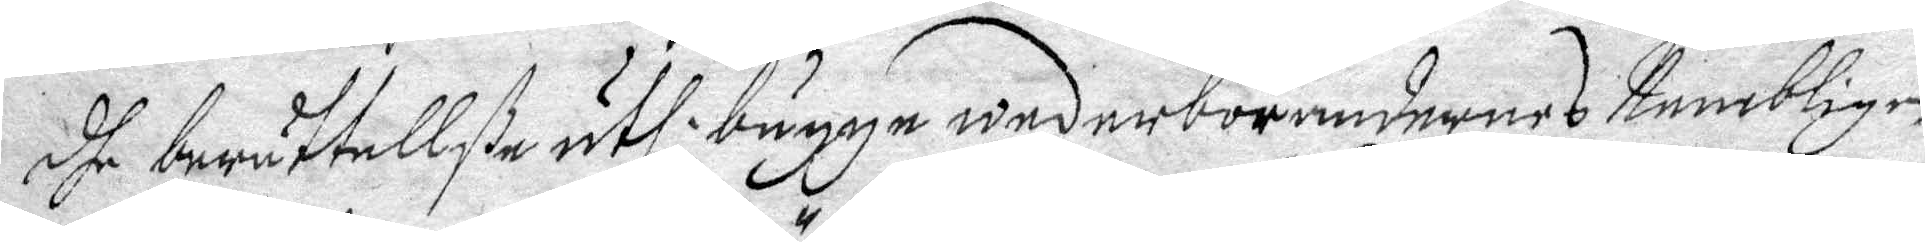dhe berättellße uthi bägge wederbörandernes Nembligen
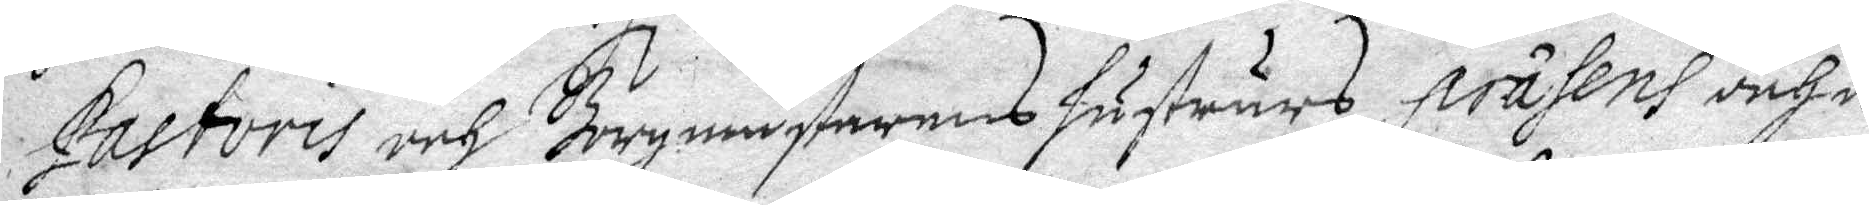Pastoris och Borgmästarens Hustrurs präsens och e¬
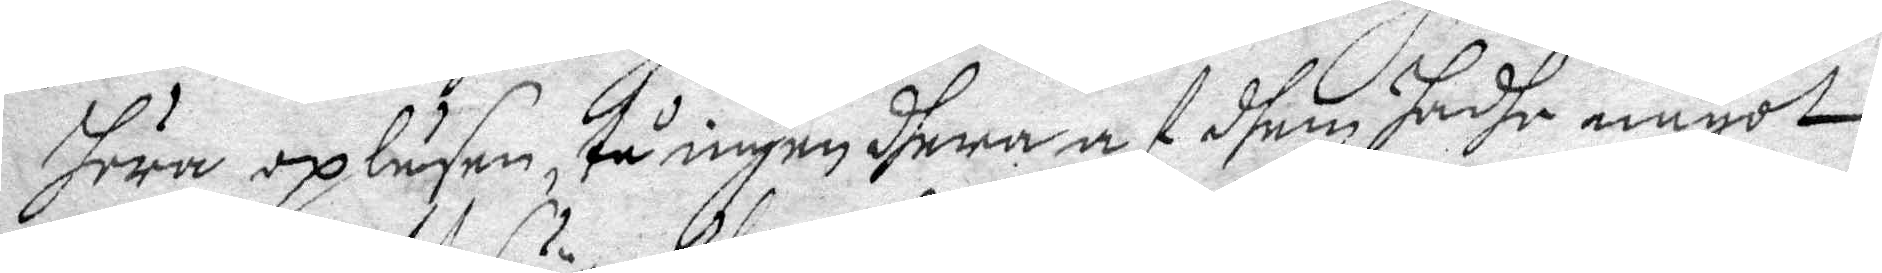huru opläsen, tå ingen dhera af dhem hadhe något
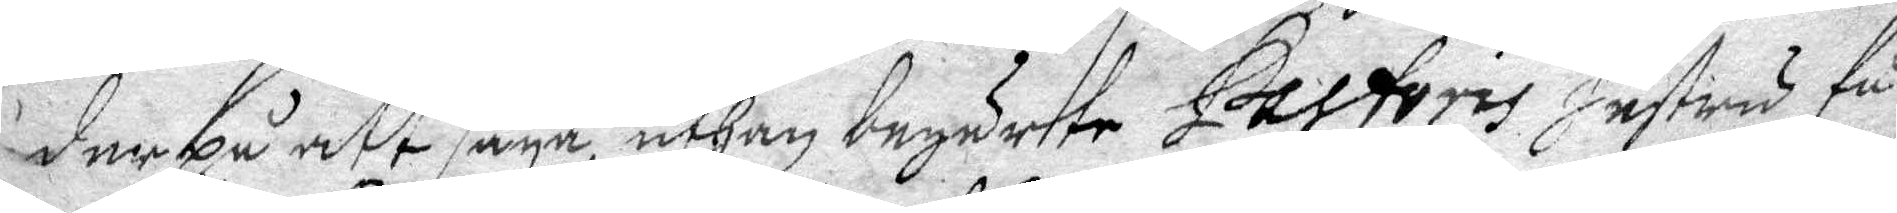derpå ett säya, uthan begärte Pastoris Hustru få
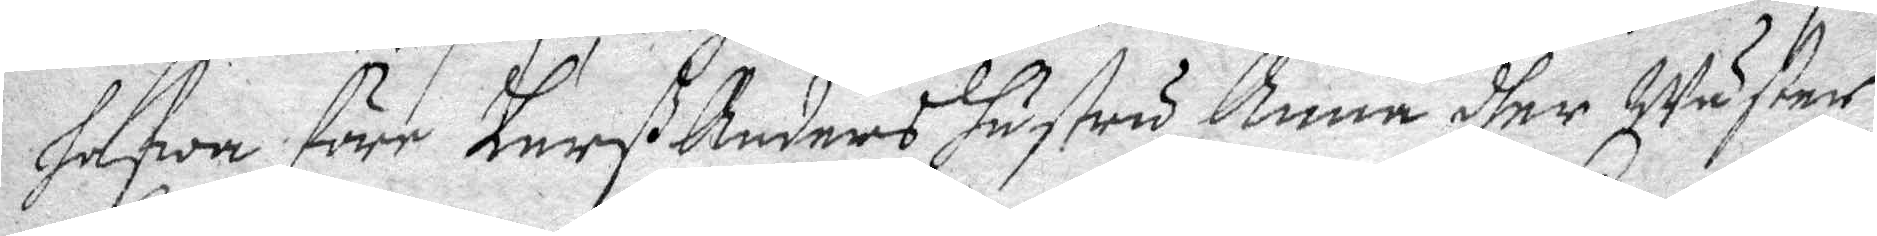hafwa före Larß Anders hustru Anna dher Wäster,
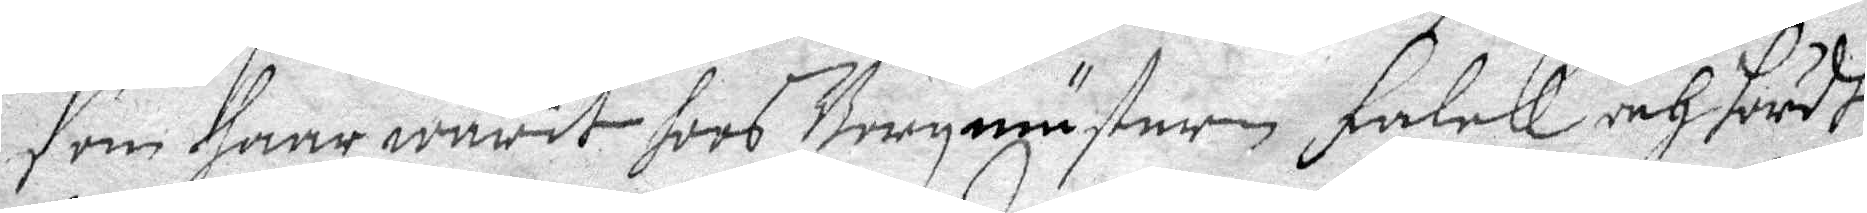som haar warit hoos Borgmästaren Falck och hördt
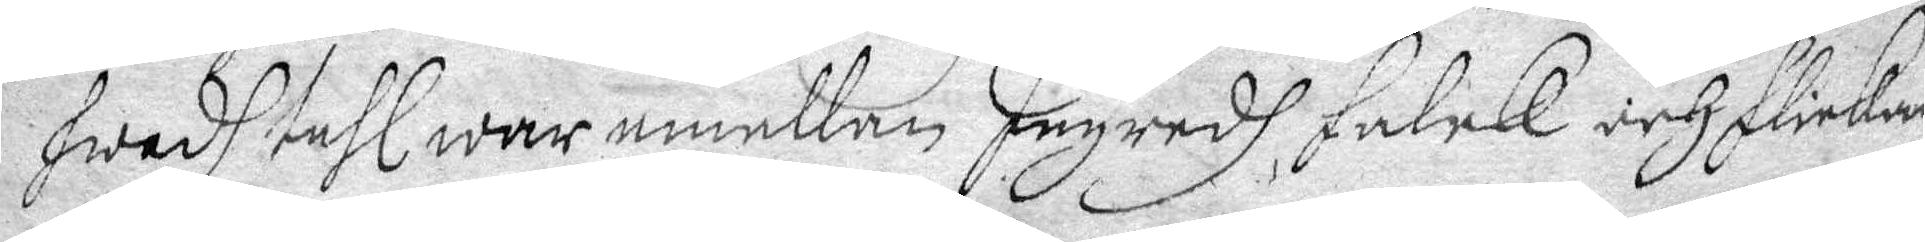Hwadh tahl war emellan Ingredh Falck och flickan
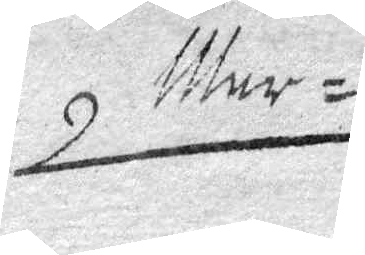Mar¬
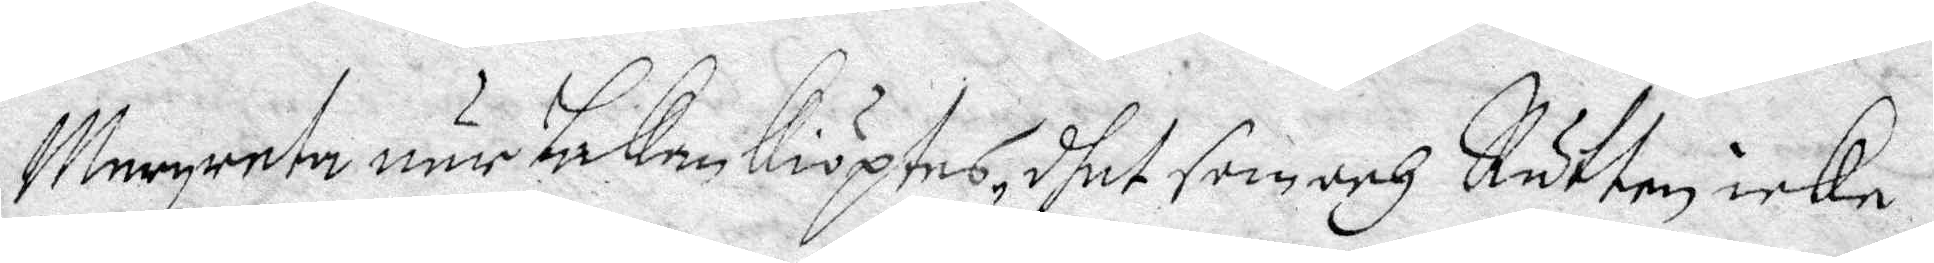Margareta när Laken kiöptes, dhet som och Rätten icke
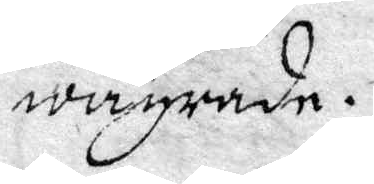vägrade.
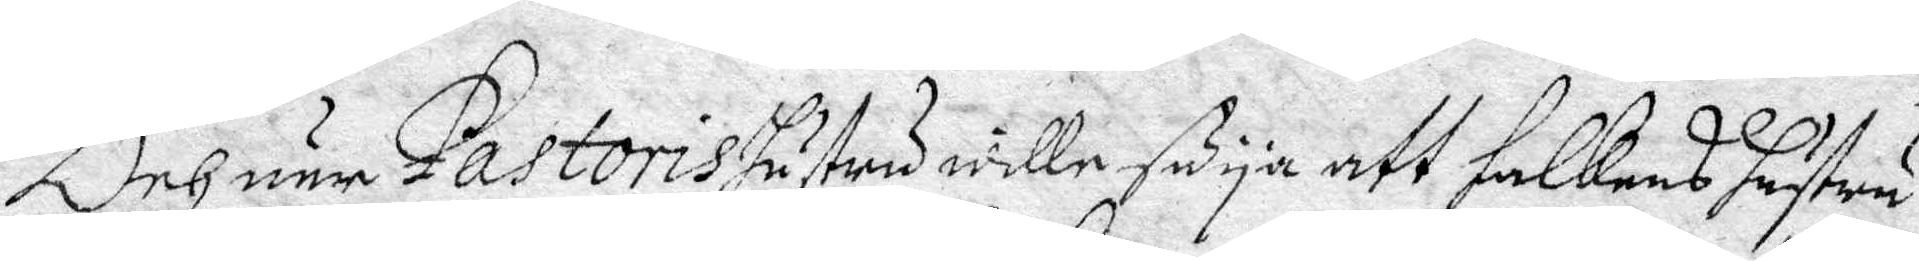Och när Pastoris hustru wille säya att Falkens hustru
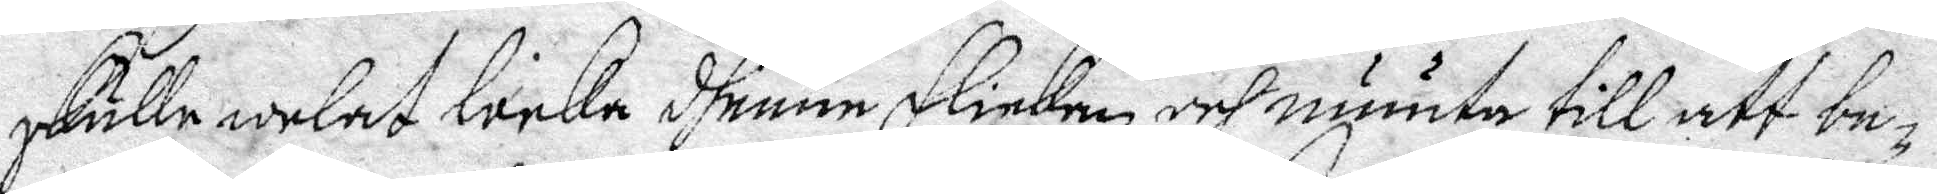skulle locka dhenne Flickan och muuta till att be¬
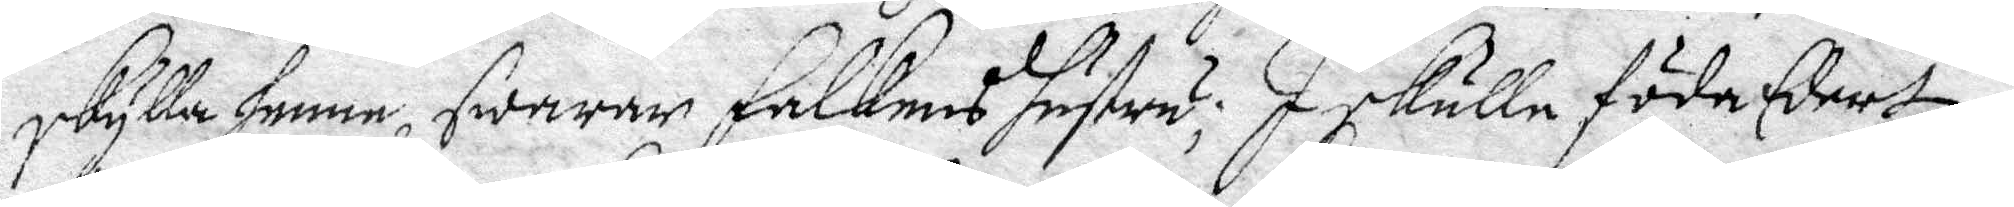skylla henne, swarar Falckens hustru; I skulle föda Edert
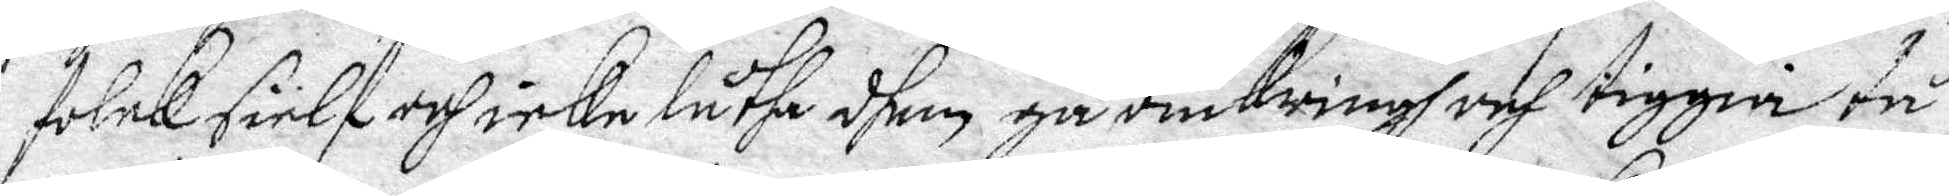folck sielf och icke låtha dhem gå omkringh och tigga tå
